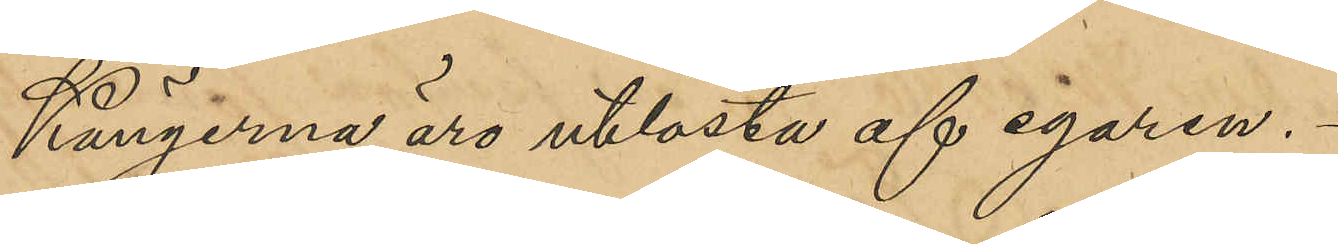Kängerna äro utlösta ef egaren.
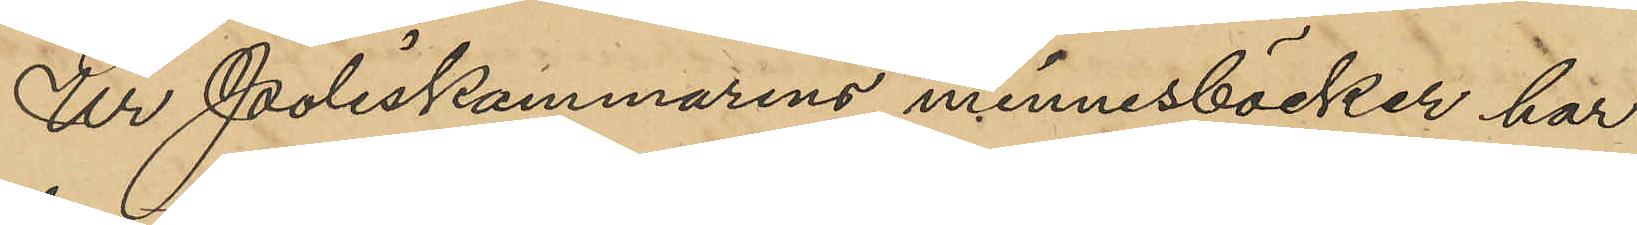Ur Poliskammarens minnesböcker har
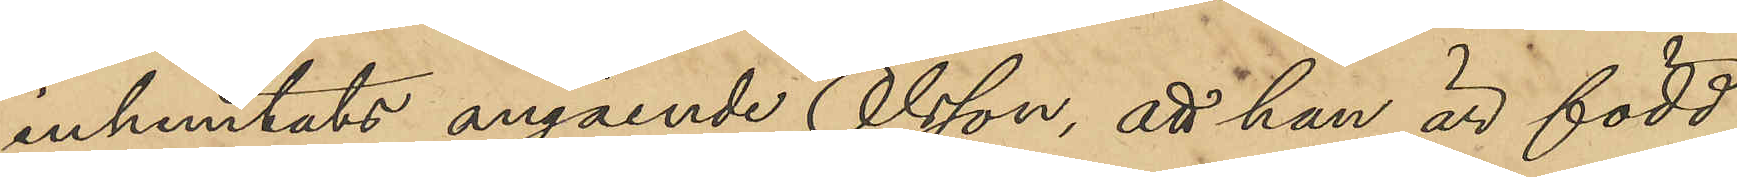inhemtats angående Olsson, att han är född
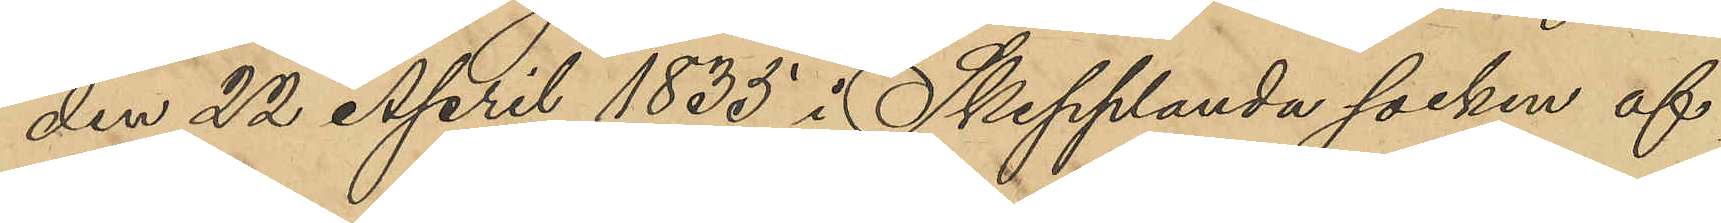den 22 April 1835 i Skepplanda socken af
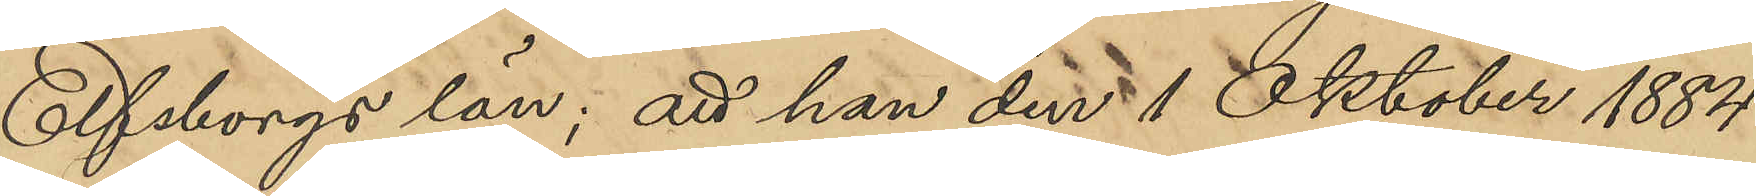Elfsborgs län; att han den 1 Oktober 1884
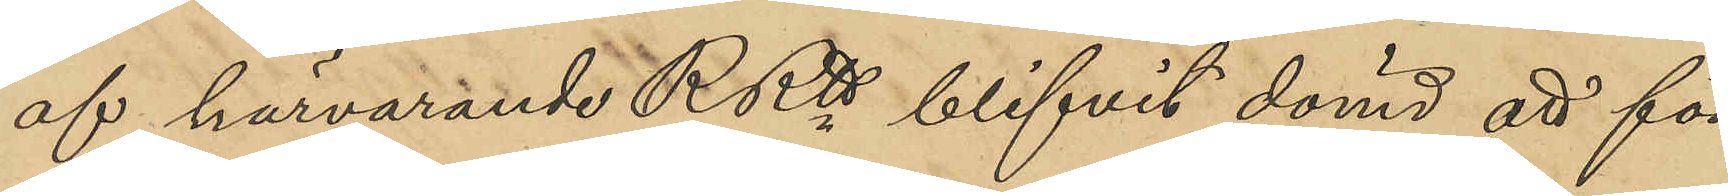af härvarande RRtt blifvit dömd att för
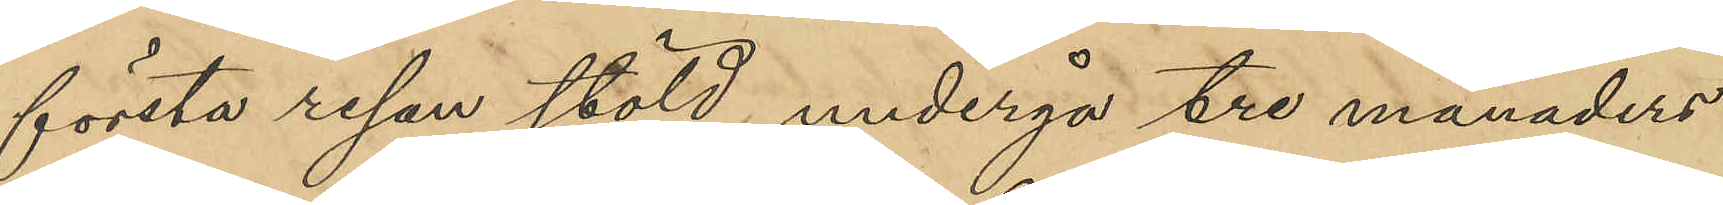första resan stöld undergå tre månaders
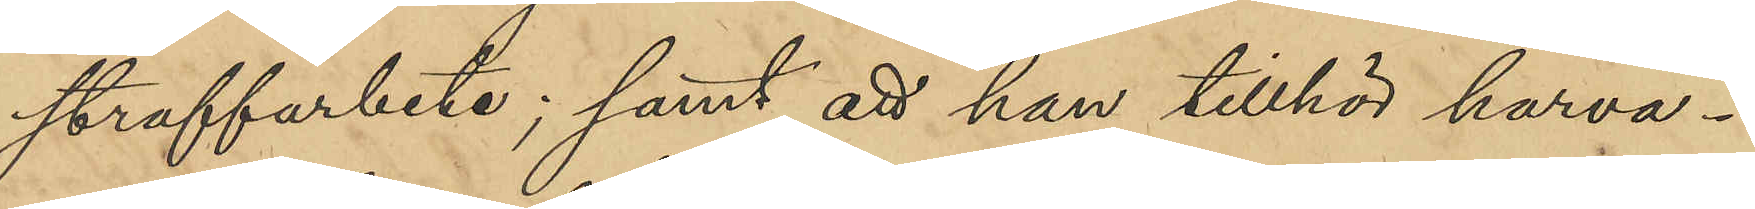straffarbete; samt att han tillhör harva¬
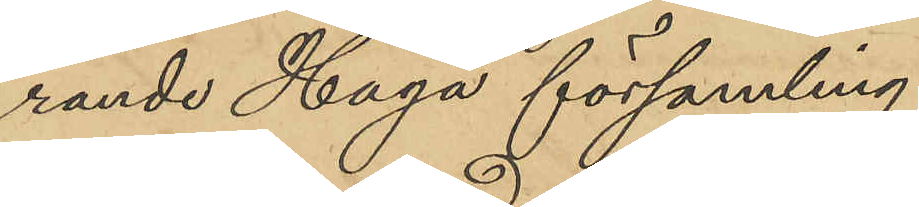rande Haga församling.
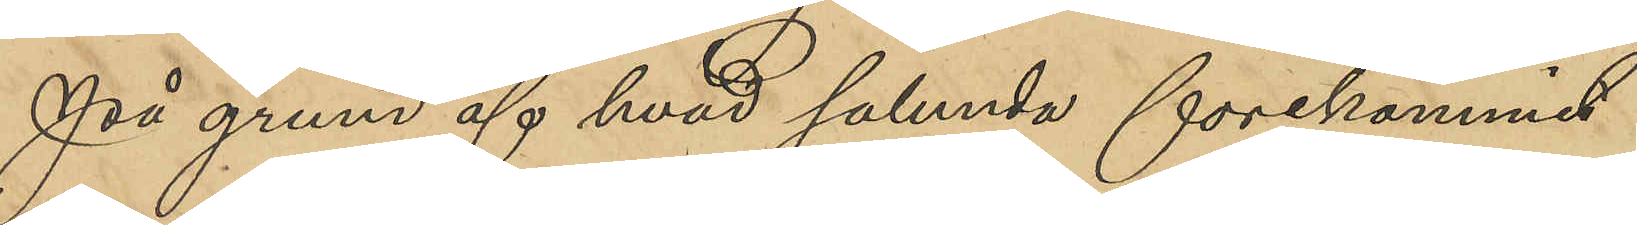På grund af hvad sålunda förekommit
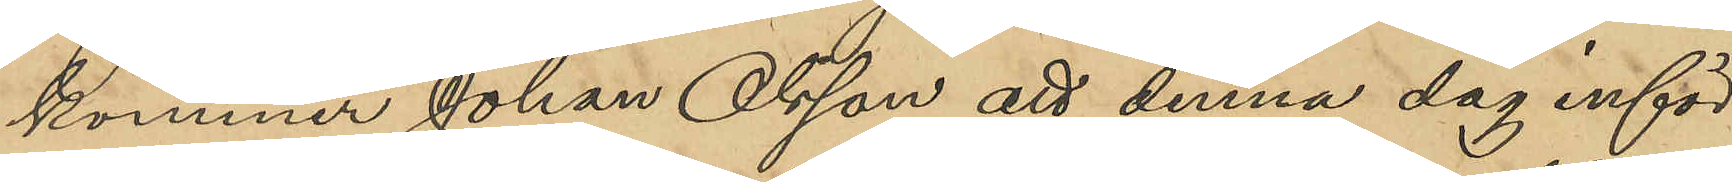kommer Johan Olsson att denna dag inför
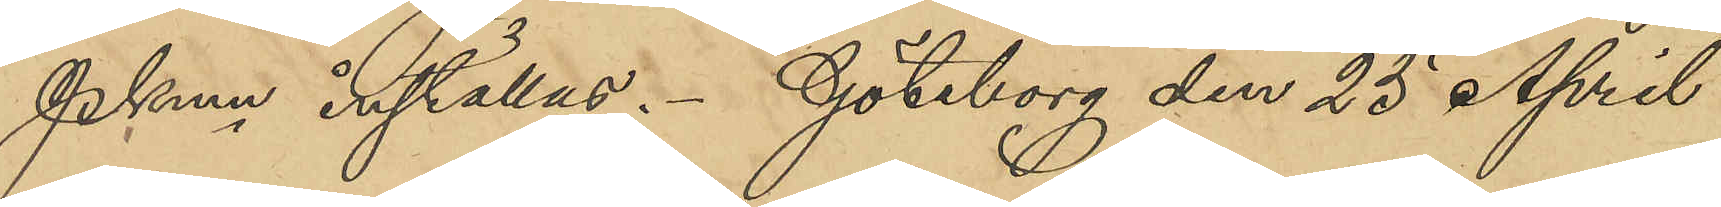Pkmn inställas. Göteborg den 23 April
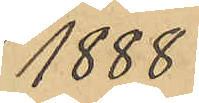1888.
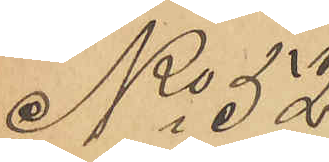No 52
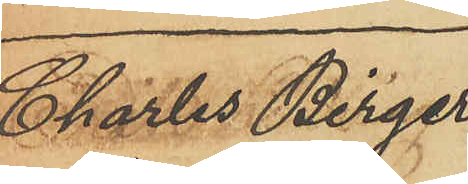Charles Birger
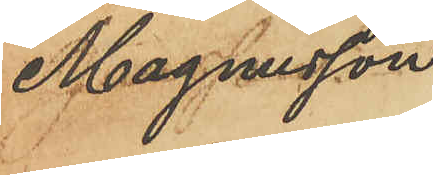Magnusson.
